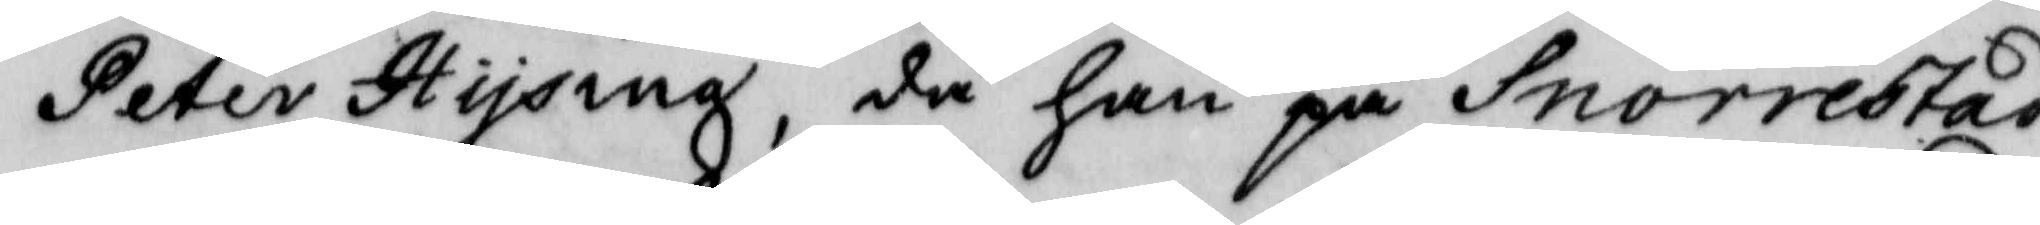Peter Hysing, då han på Snorrestad
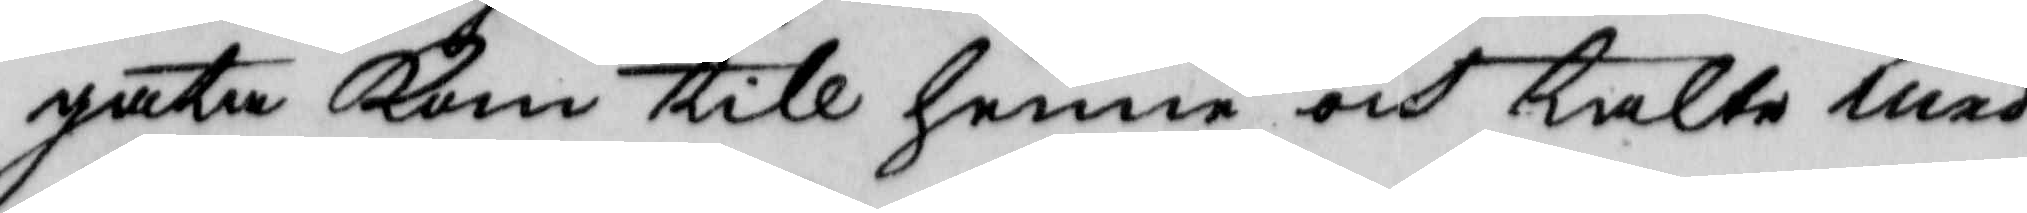gata Kom till henne och talte med
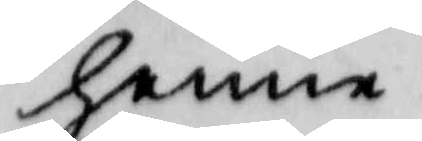henne.
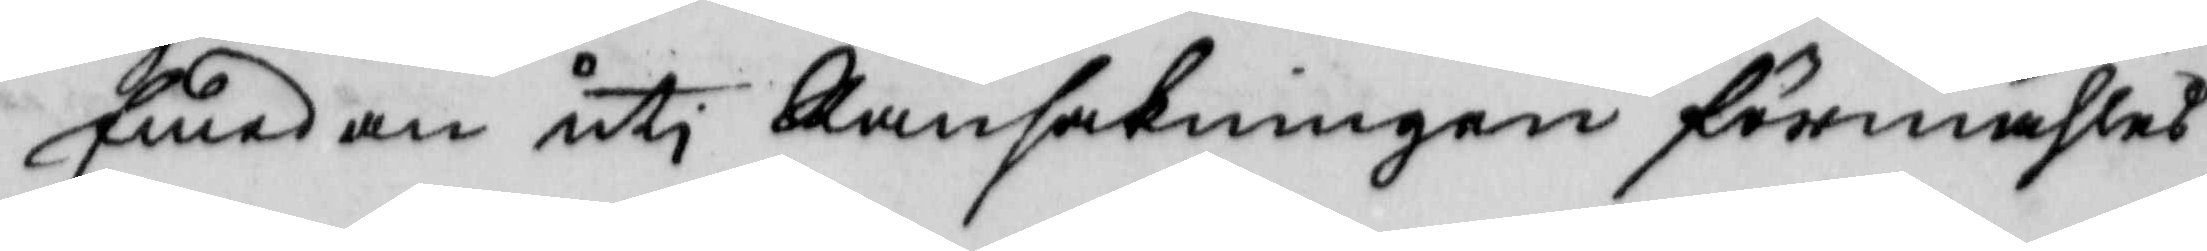Emedan uti Ransakningen förmähles
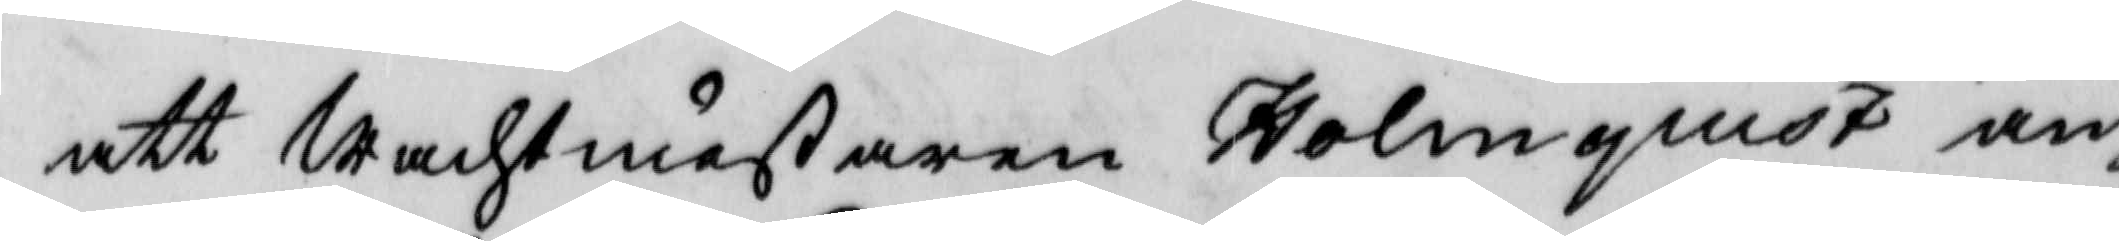att wachtmästaren Holmquist an¬
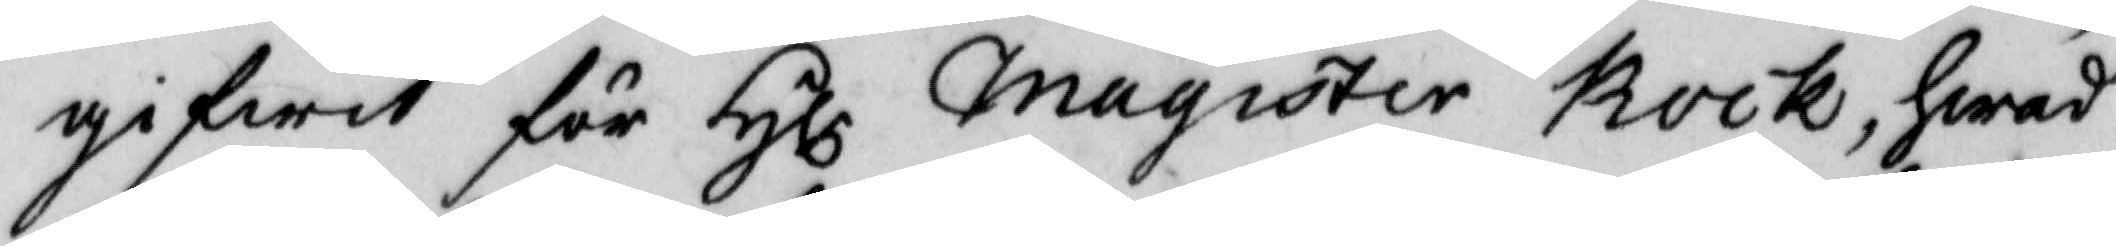gifwit för Hlr magister Kock, hwad
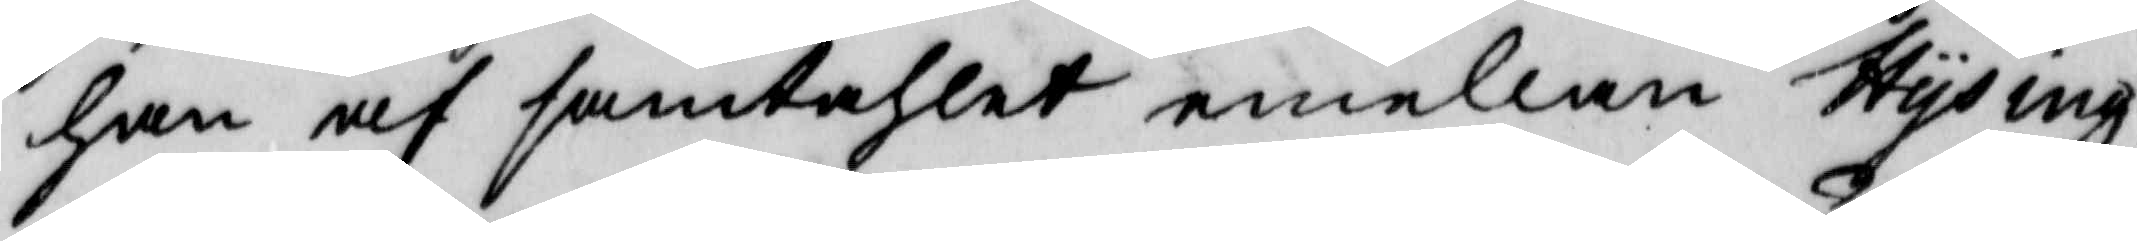han af samtahlet emellan Hysing
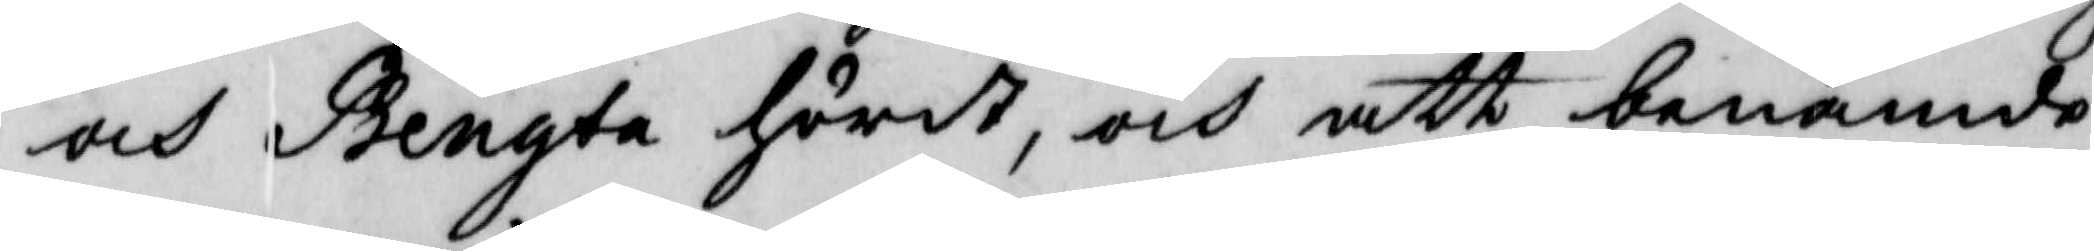och Bengta hördt, och att benämde
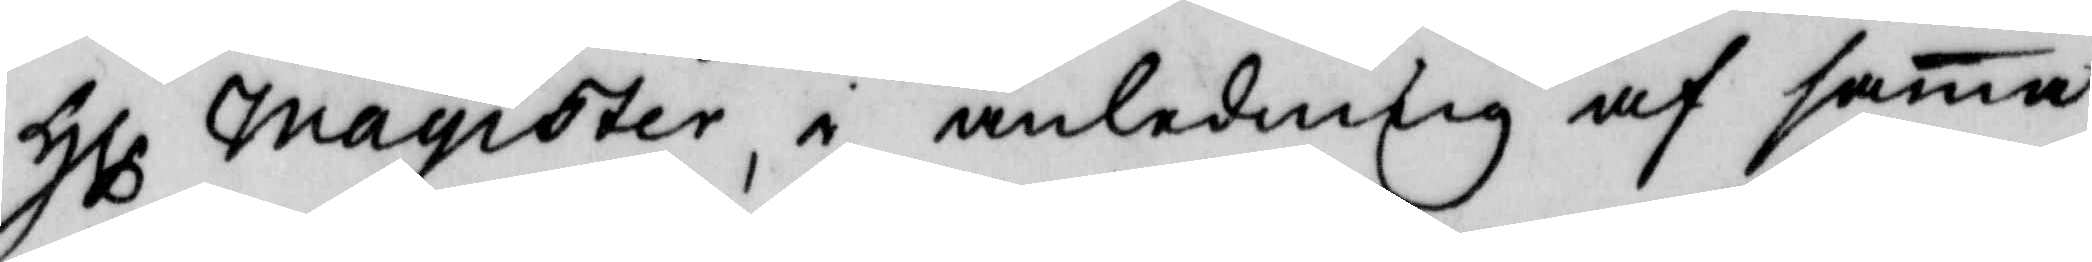Hlr magister, i anledning af sama
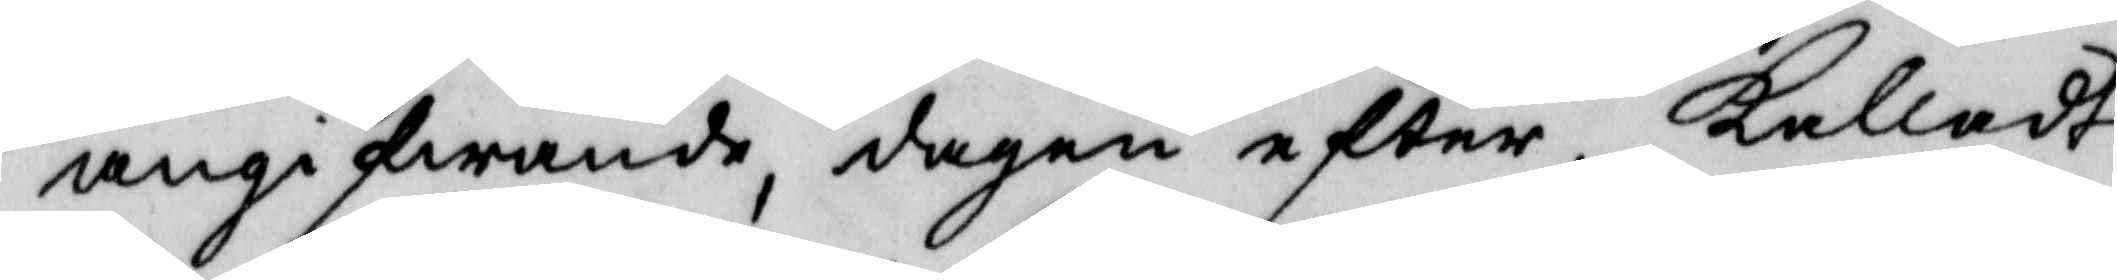angifwande, dagen efter, Kalladt
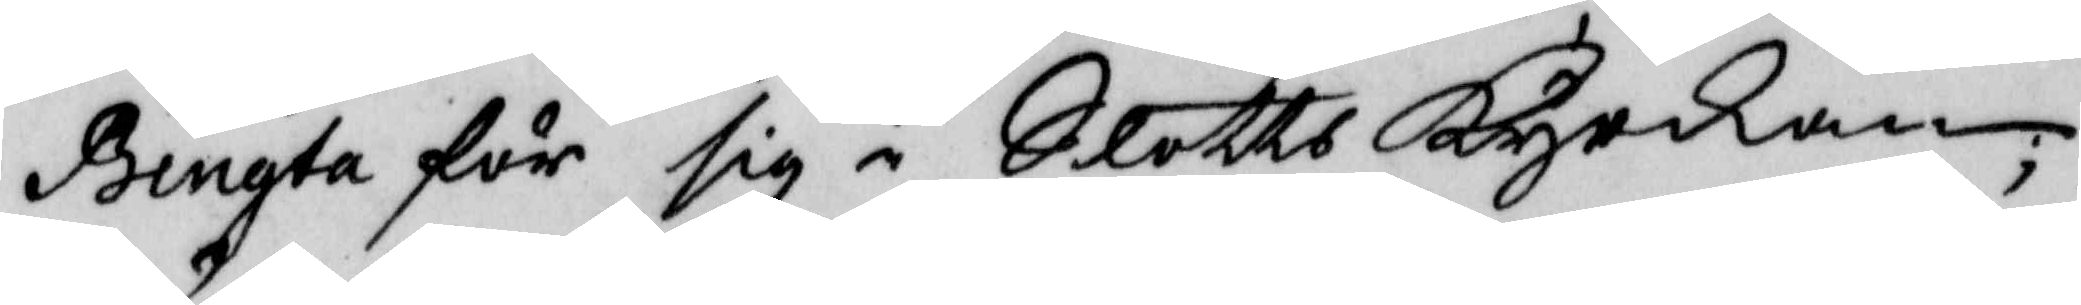Bengta för sig i Slotts Kyrkan
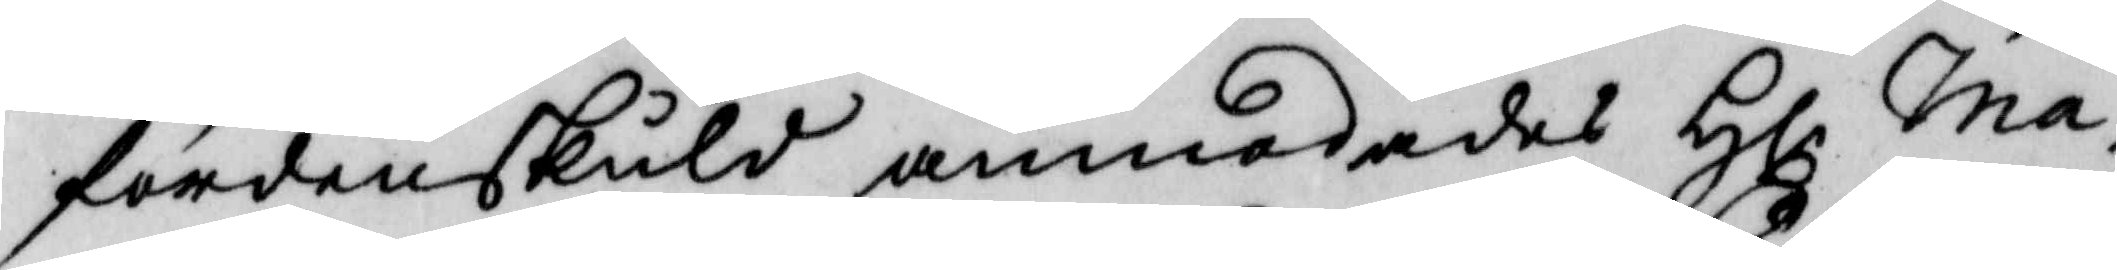fördenskuld anmodades Hlr ma¬
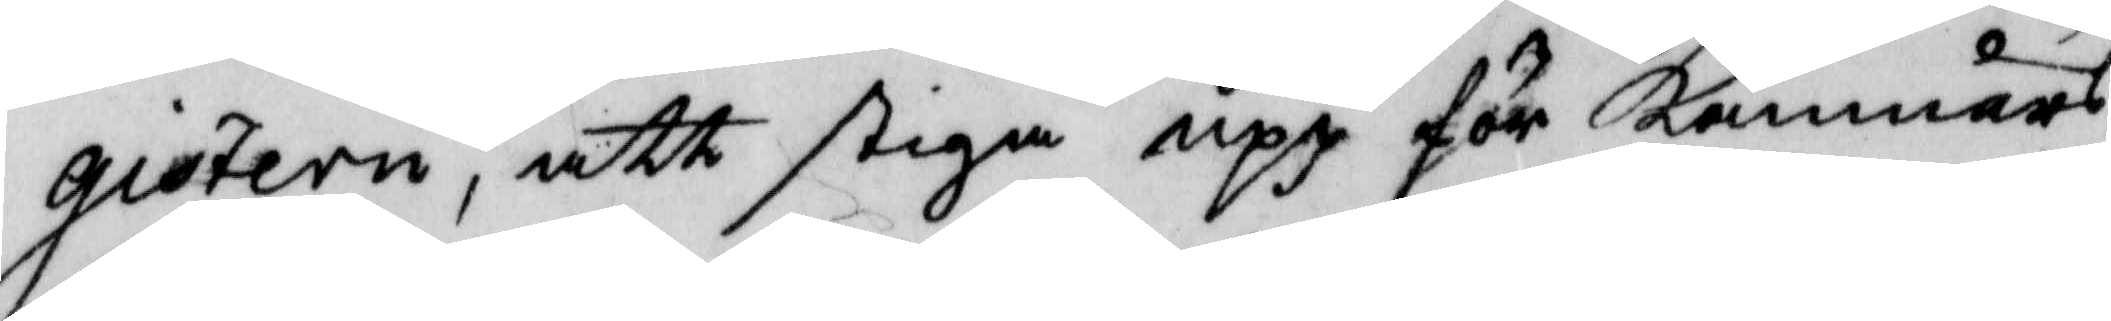gistern, att stiga upp för Kämnärs
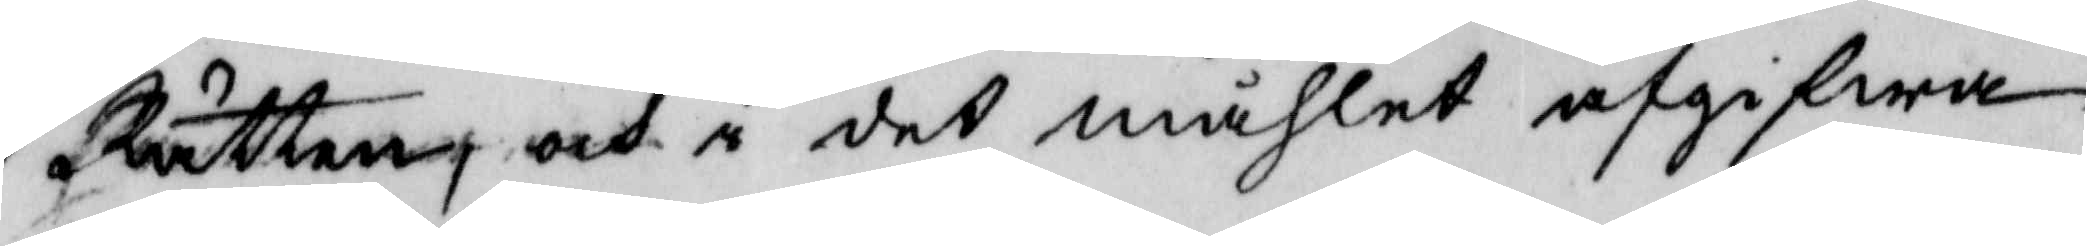Rätten, och i det måhlet afgifwa
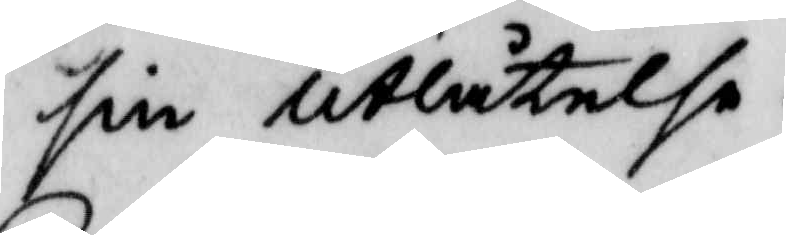sin utlåtelse.
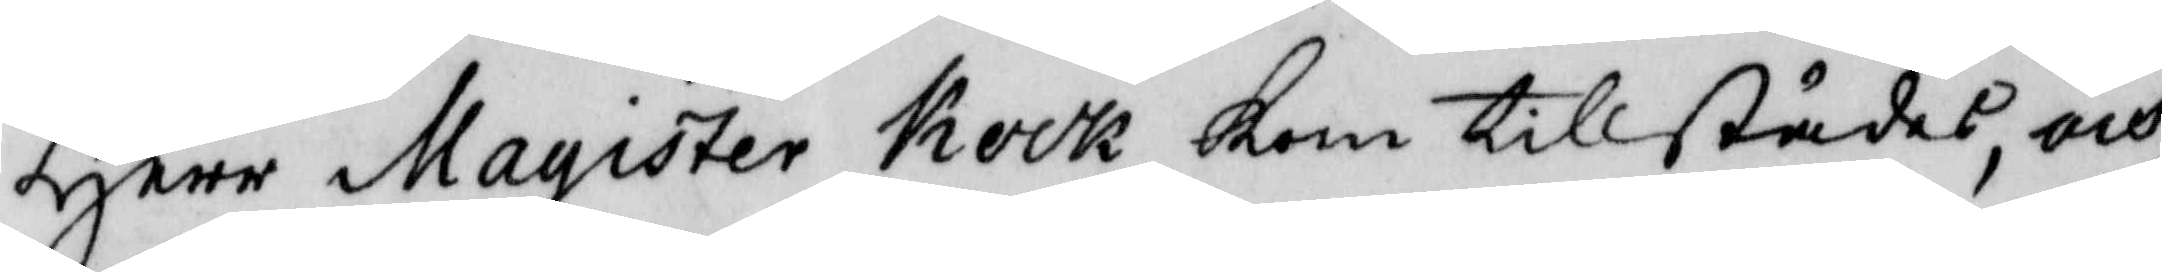Herr Magister Kock kom tillstädes, och,
